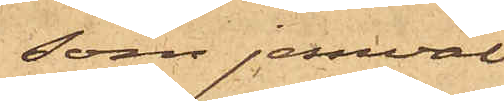som jemväl
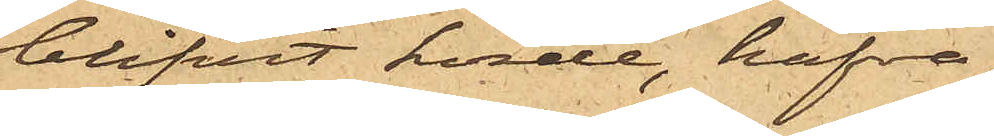blifvit hörde, hafva
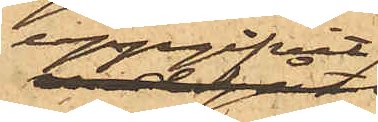uppgifvit,
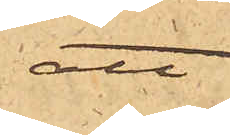att
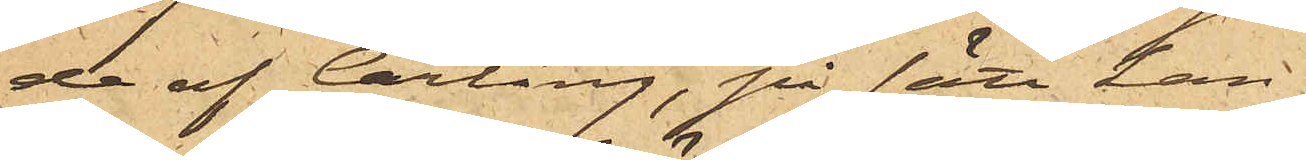de af Carling, på sätt han
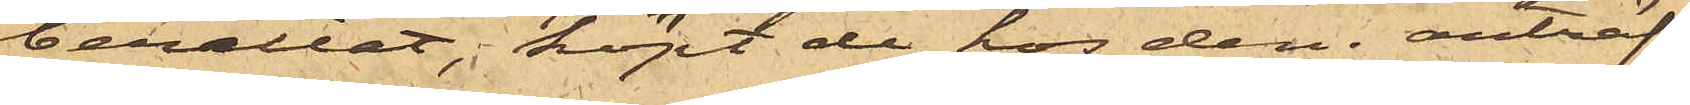berättat, köpt de hos den anträf¬
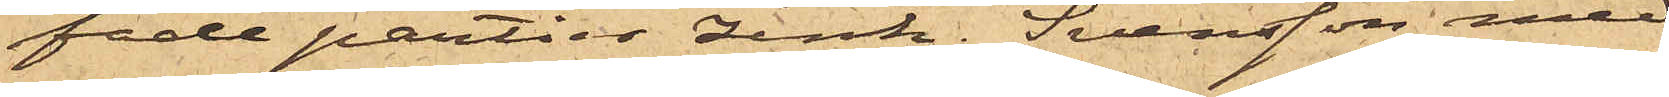fade partier zink, Svensson med
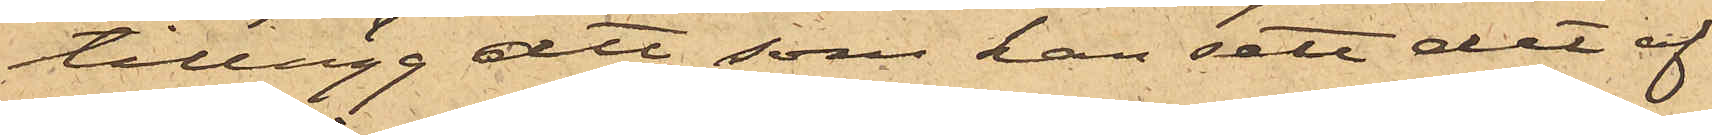tillägg, att som han sett det af
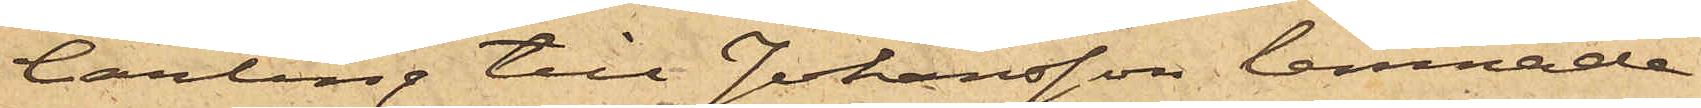Carling till Johansson lemnade
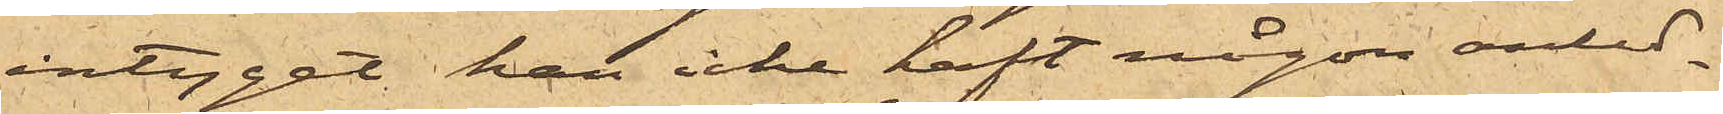intyget han icke haft någon anled¬
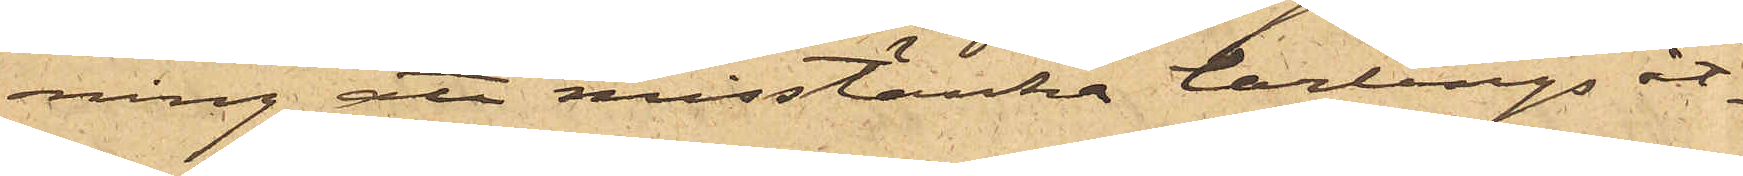ning att misstänka Carlings åt¬
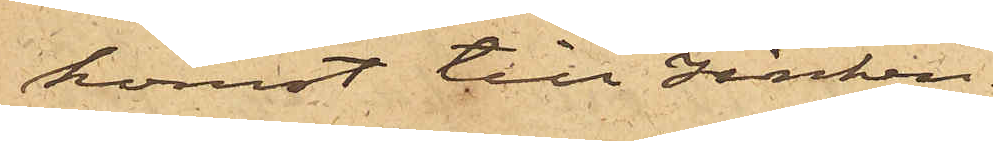komst till zinken.
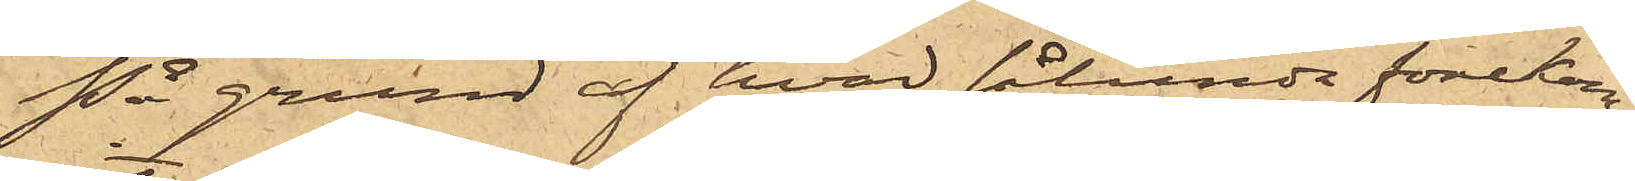På grund af hvad sålunda förekom¬
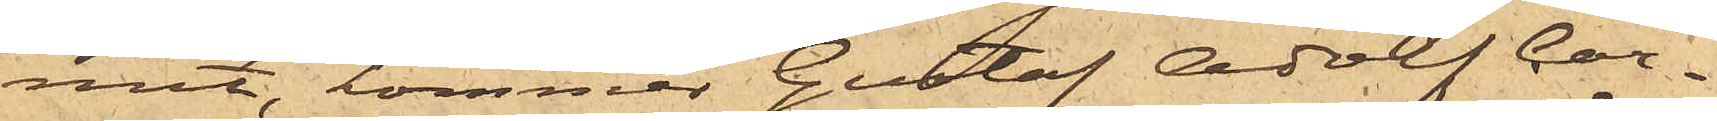mit, kommer Gustaf Adolf Car¬
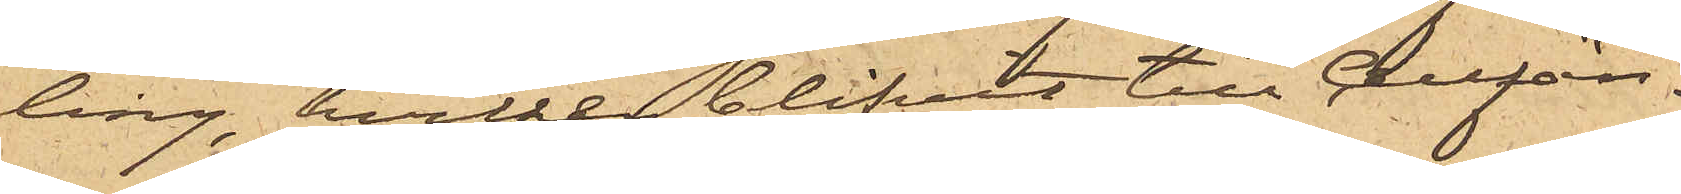ling, hvilken blifvit till Cellfän¬
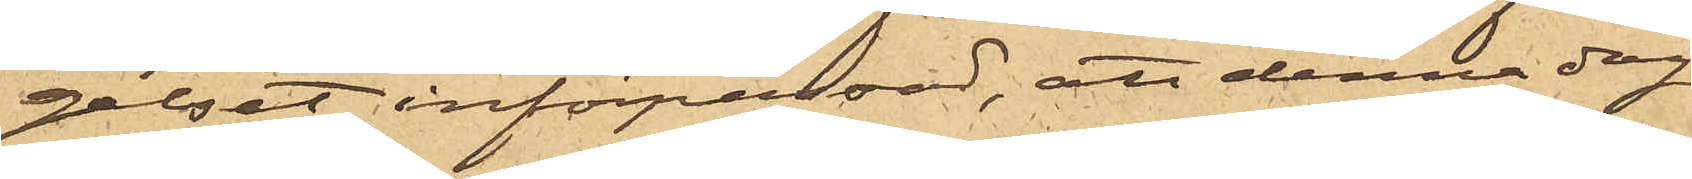gelset införpassad, att denna dag
